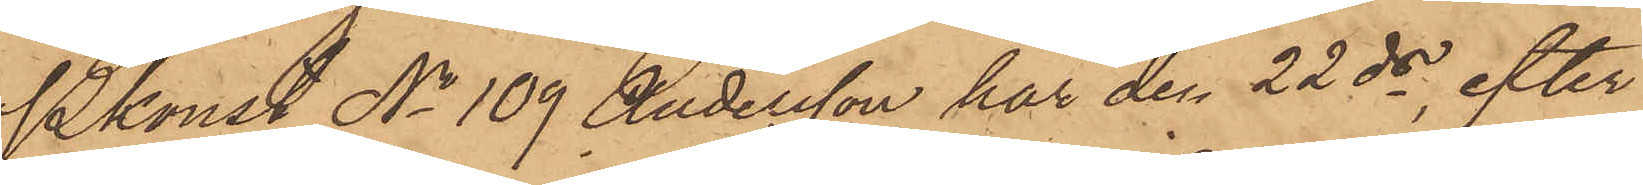Pkonst No 109 Andersson har den 22 ds, efter
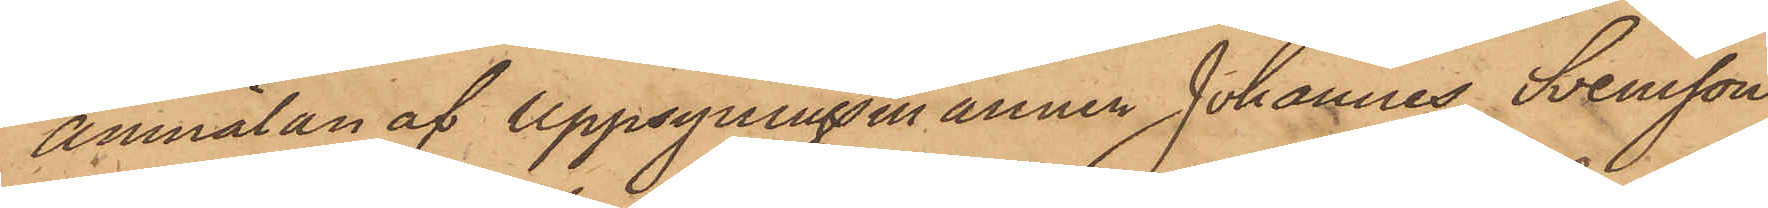anmälan af uppsyningsmannen Johannes Svensson
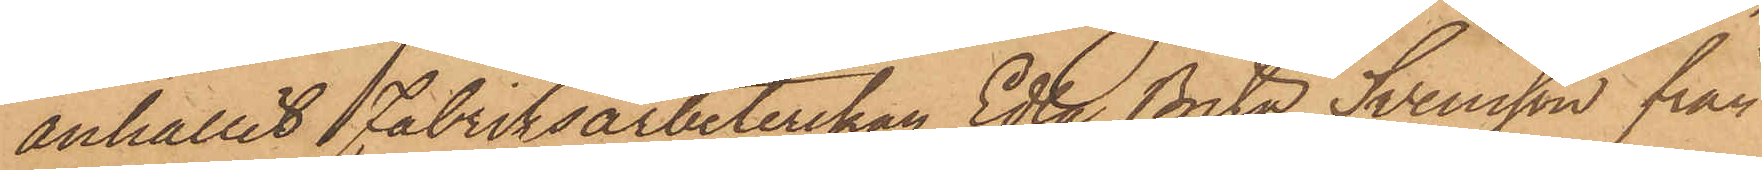anhållit Fabriksarbeterskan Edla Brita Svensson från
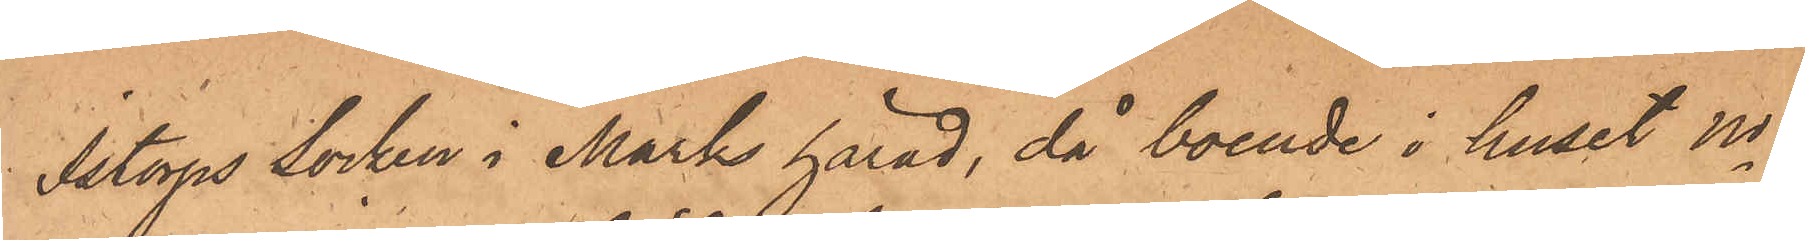Istorps socken i Marks härad, då boende i huset No
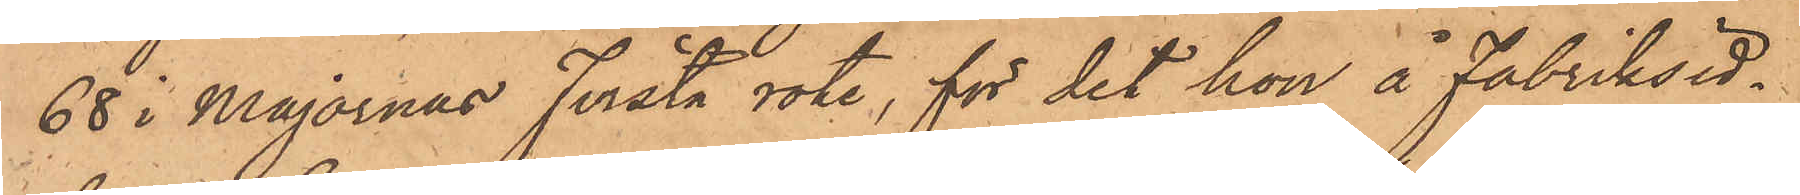68 i Majornas första rote, för det hon å Fabriksid¬
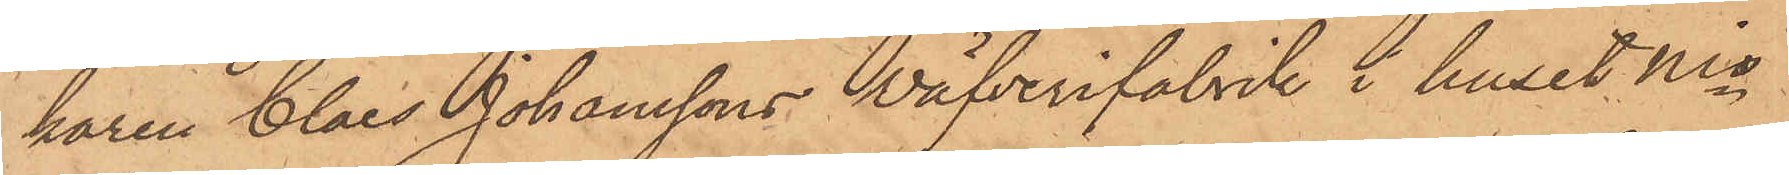karen Claes Johanssons Wäfverifabrik i huset Nio
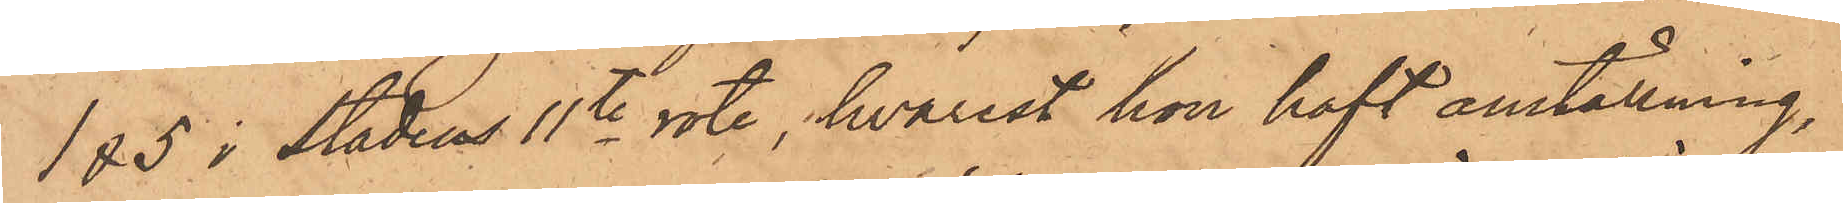1&5 i stadens 1te rote, hvarest hon haft anställning,
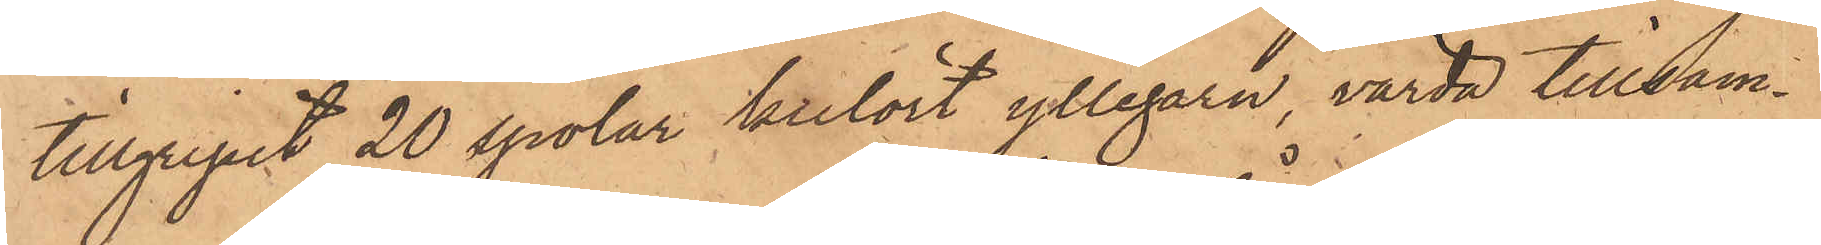tillgripit 20 spolar kulört yllegarn, värda tillsam¬
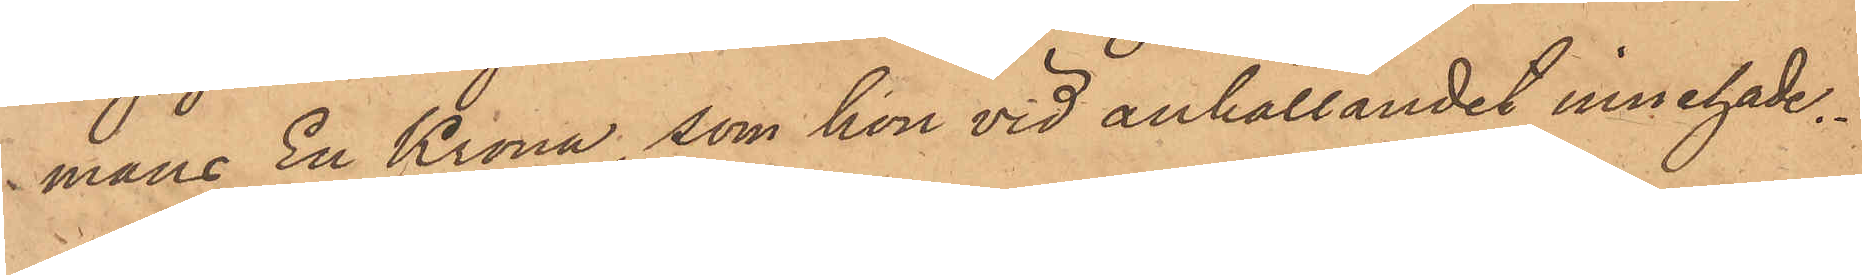mans En Krona, som hon vid anhållandet innehade.
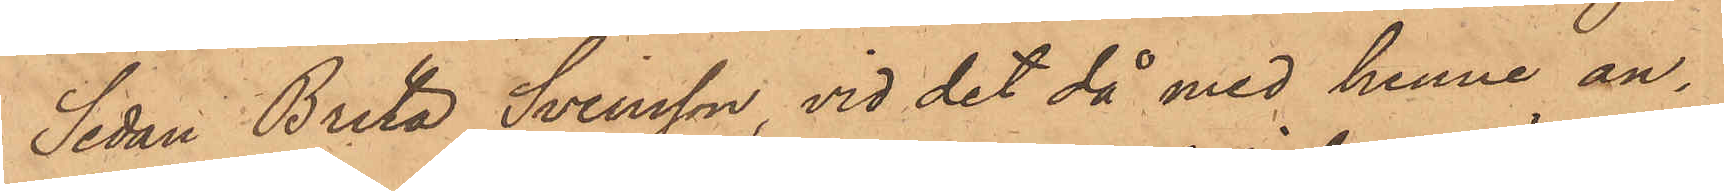Sedan Brita Svensson, vid det då med henne an¬
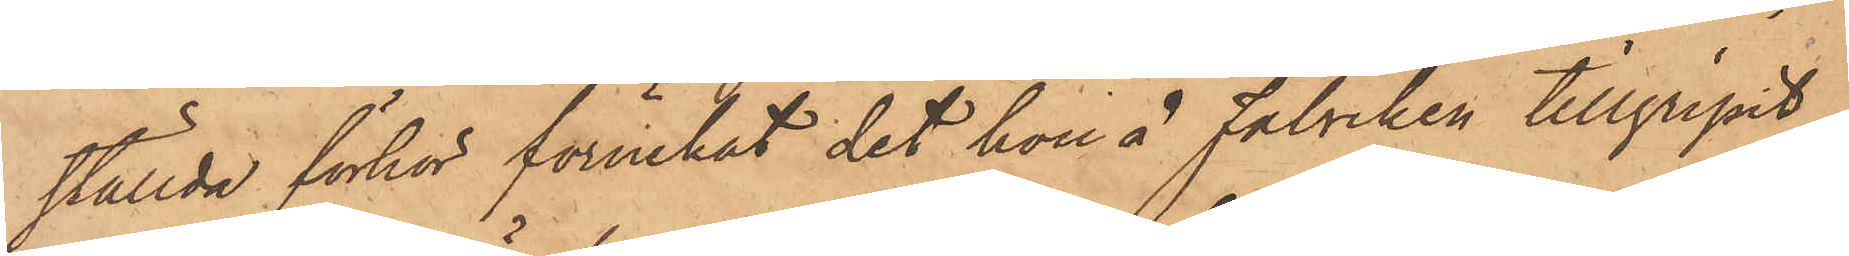ställda förhör förnekat det hon å Fabriken tillgripit
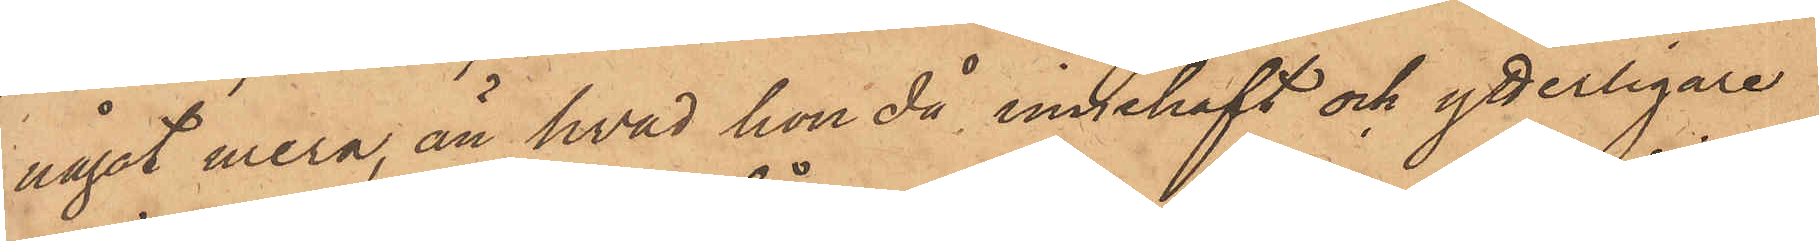något mera, än hvad hon då innehaft och ytterligare
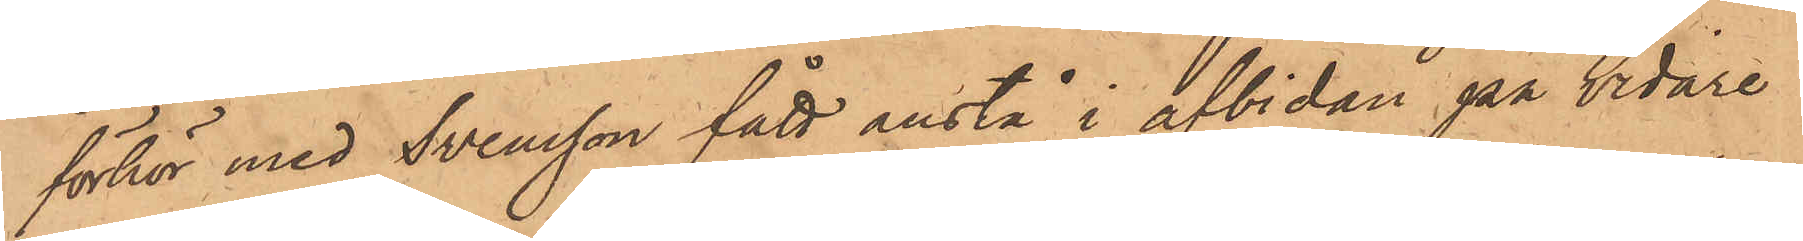förhör med Svensson fått anstå i afbidan på vidare
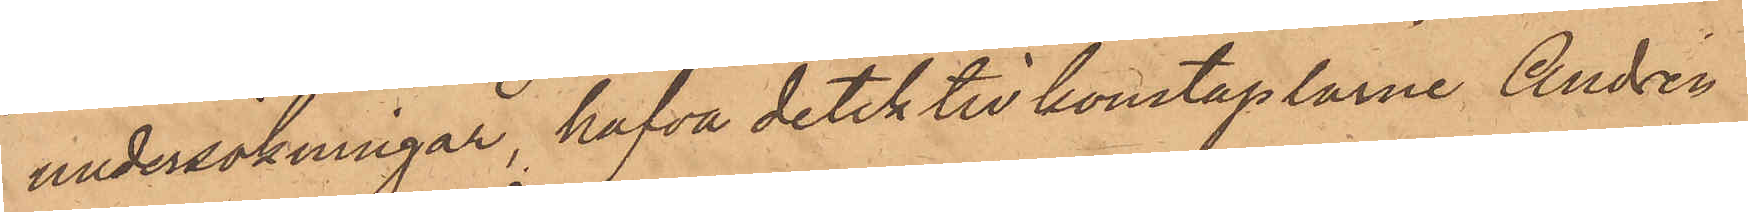undersökningar, hafva detektivkonstaplarne Andrén
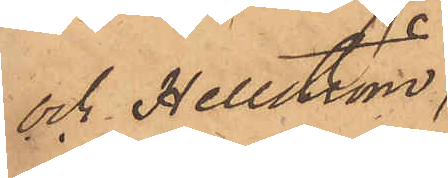och Hellström,
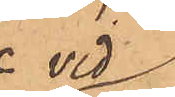 vid
